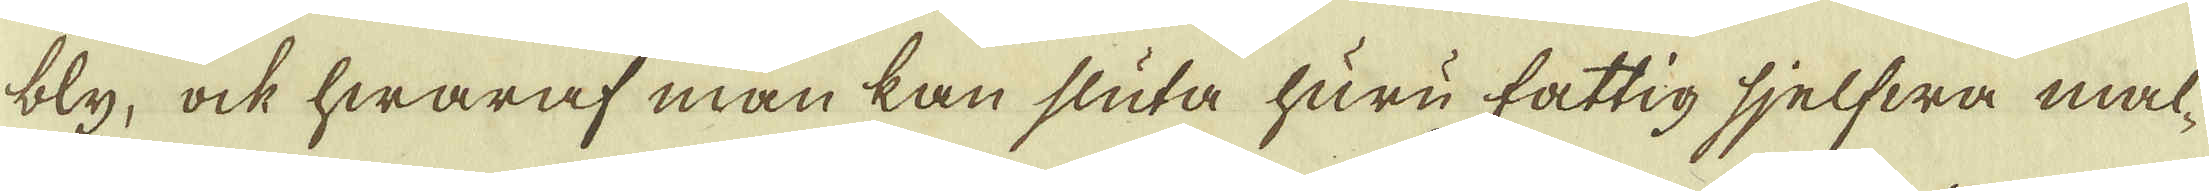bly, ock hwaraf man kan sluta huru fattig sjelfwa mal-
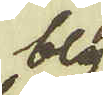bly
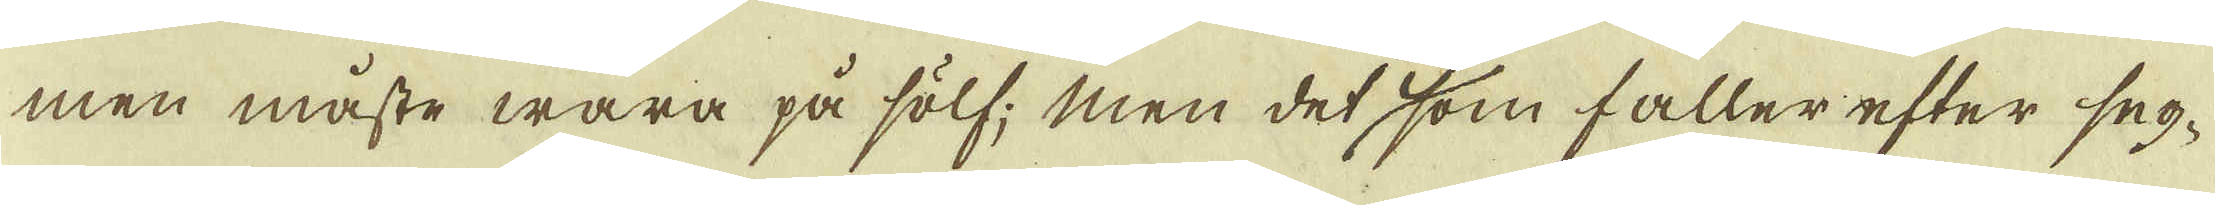men måste wara på sölf; men det som faller efter seg-
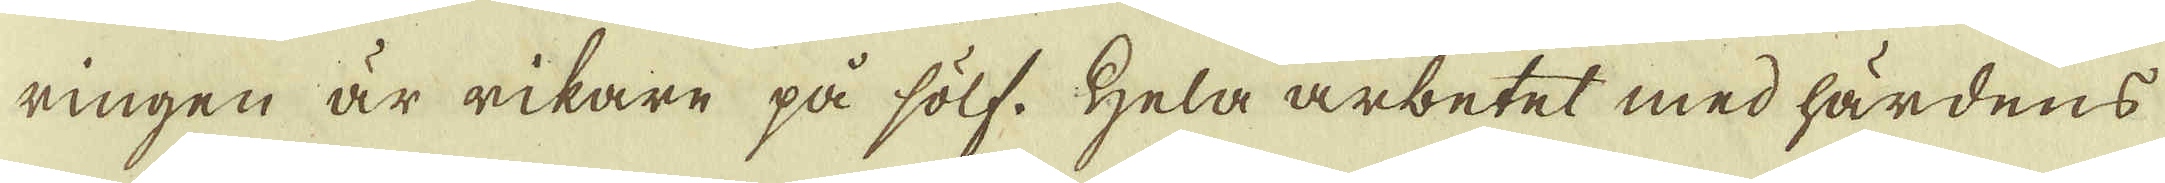ringen är rikare på sölf. Hela arbetet med härdens
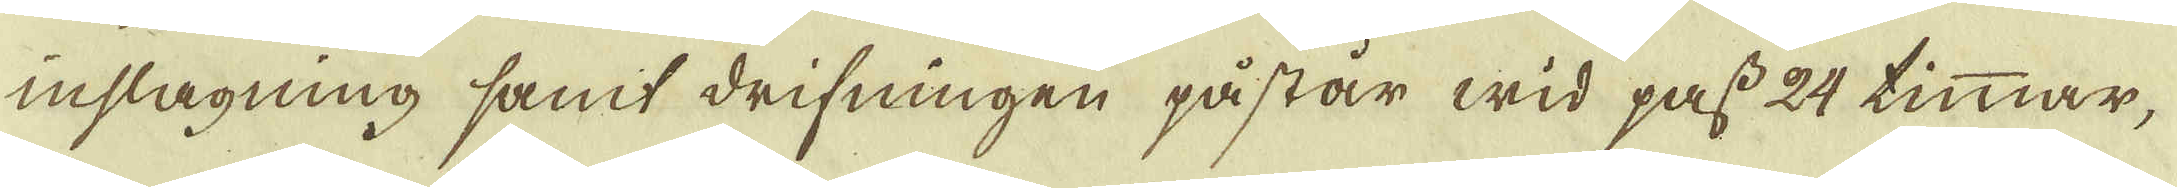inslagning samt drifningen påstår wid pass 24 timmar,
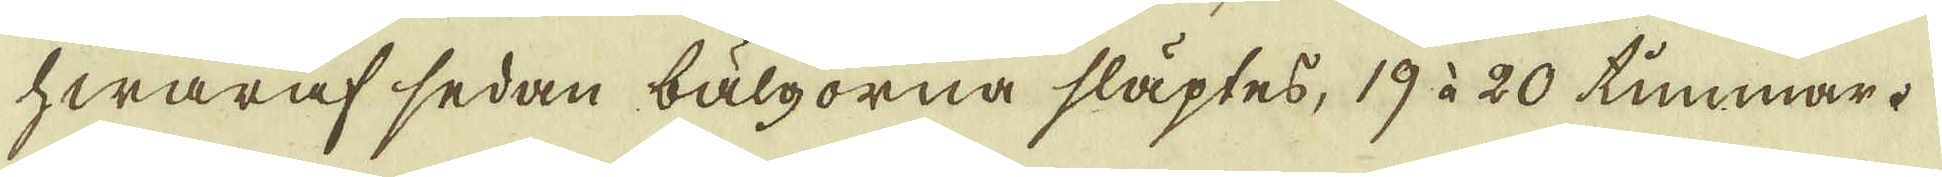hwaraf sedan bälgorna släptes, 19 à 20 timmar.
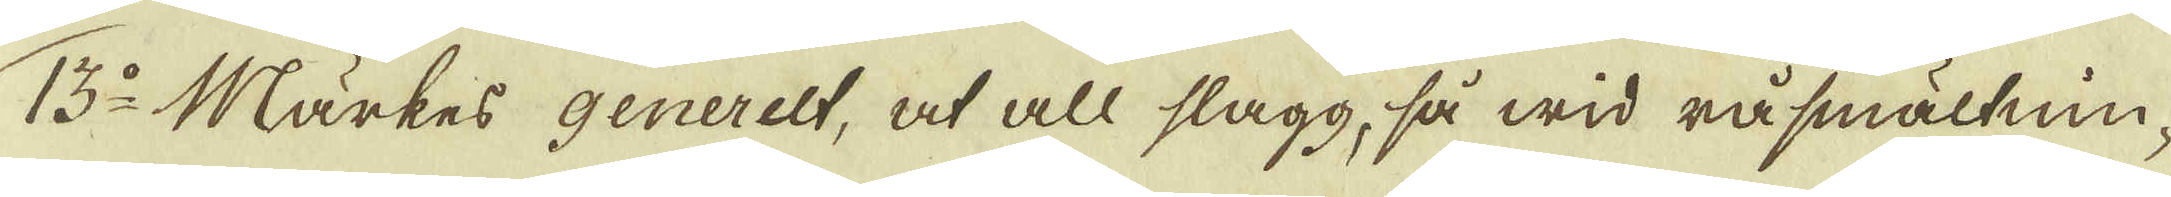13:o Märkes generelt, at all slagg, så wid råsmältnin-
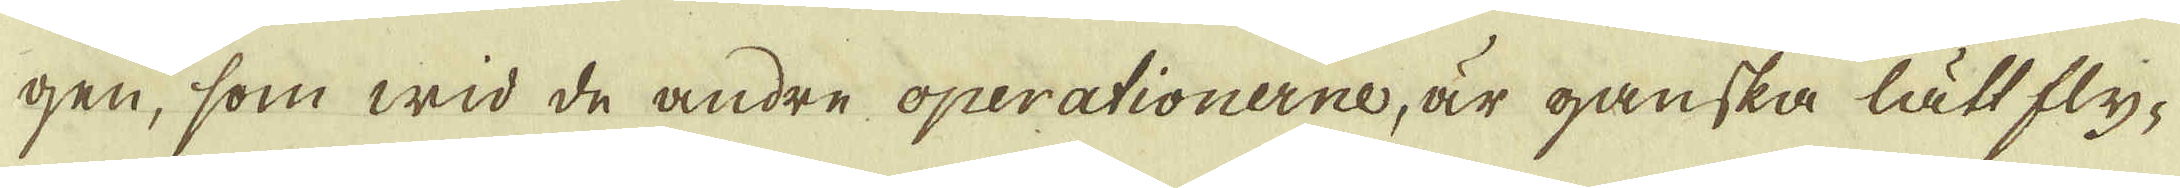gen, som wid de andre operationerne, är ganska lätt fly-
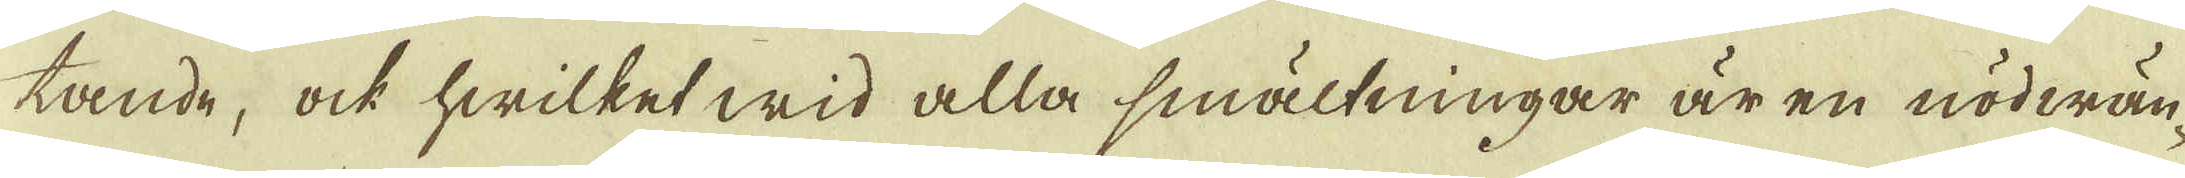tande, ock hwilket wid alla smältningar är en nödwän-
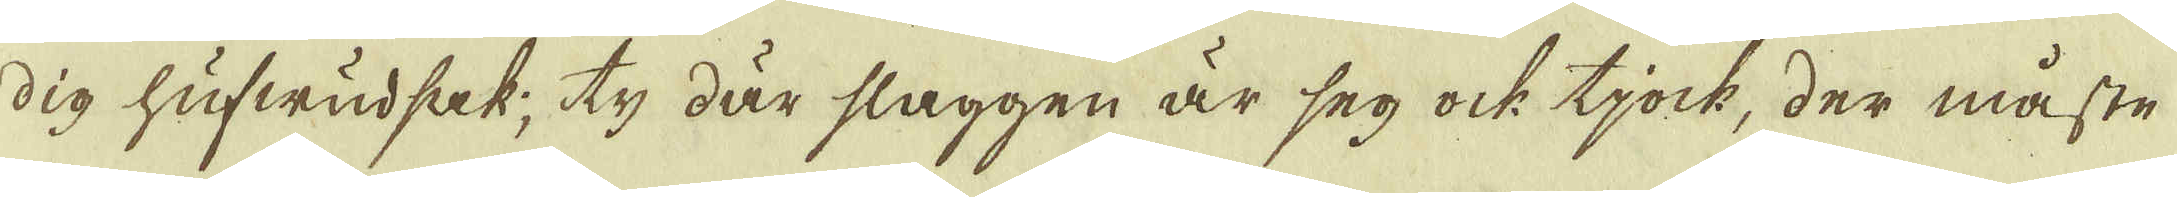dig hufwudsak; ty där slaggen är seg ock tjock, der måste
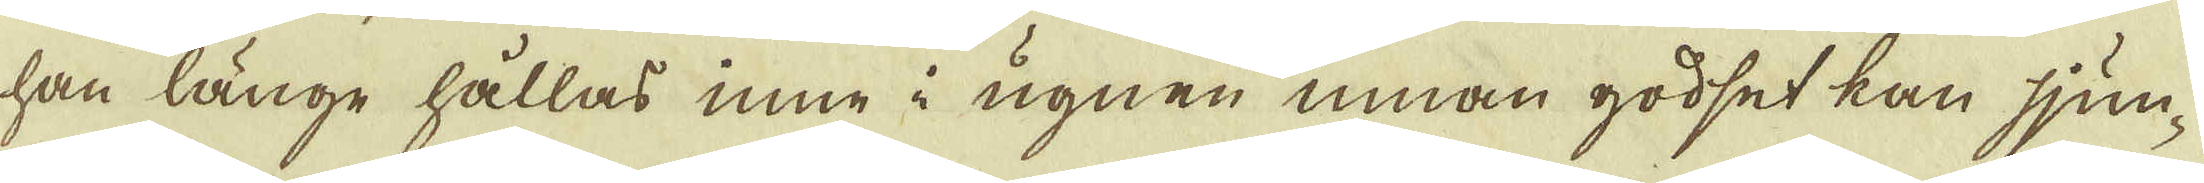han länge hållas inne i ugnen innan godset kan sjun-
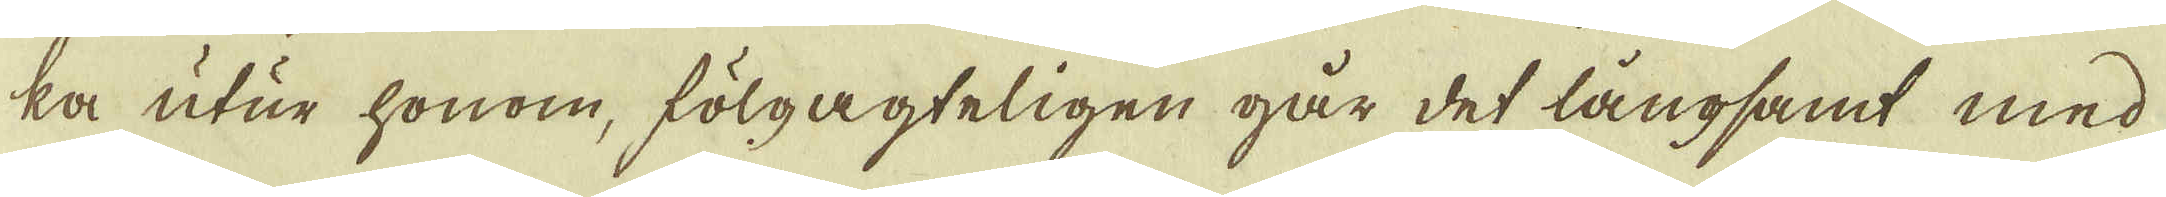ka utur honom, fölgagteligen går det långsamt med
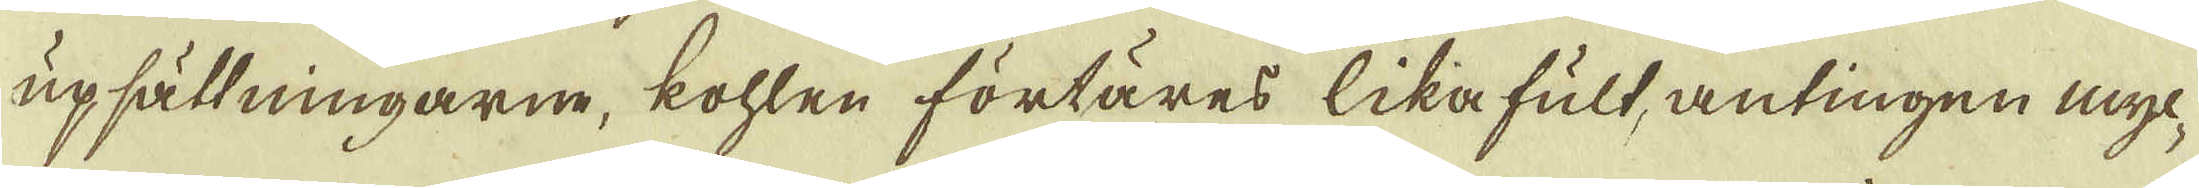upsättningarne, kohlen förtäres likafult antingen myc-
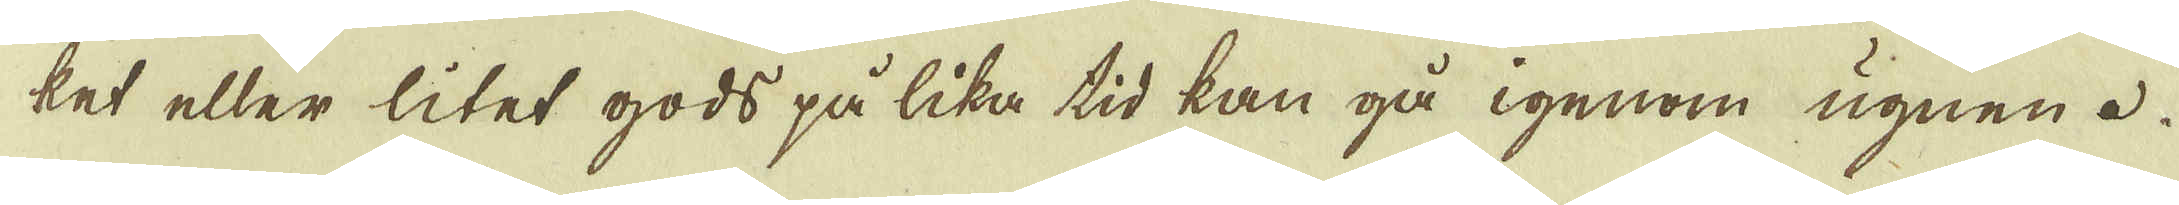ket eller litet gods på lika tid kan gå igenom ugnen.
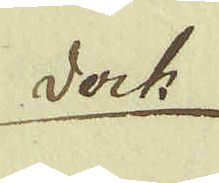dock
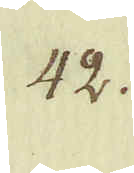42.
